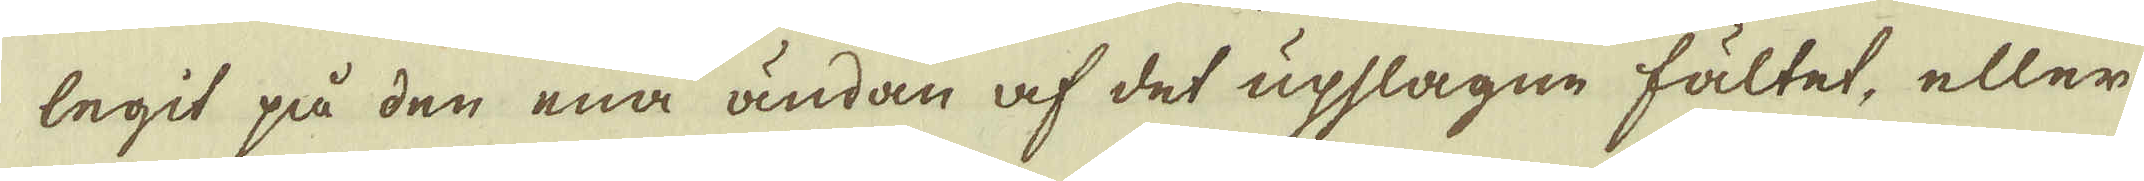legit på den ena ändan af det upslagne fältet, eller
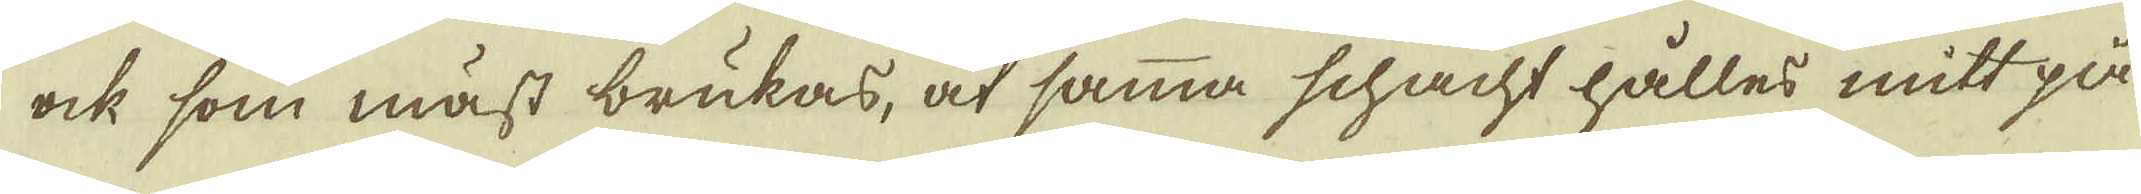ock som mäst brukas, at samma schacht hålles mitt på
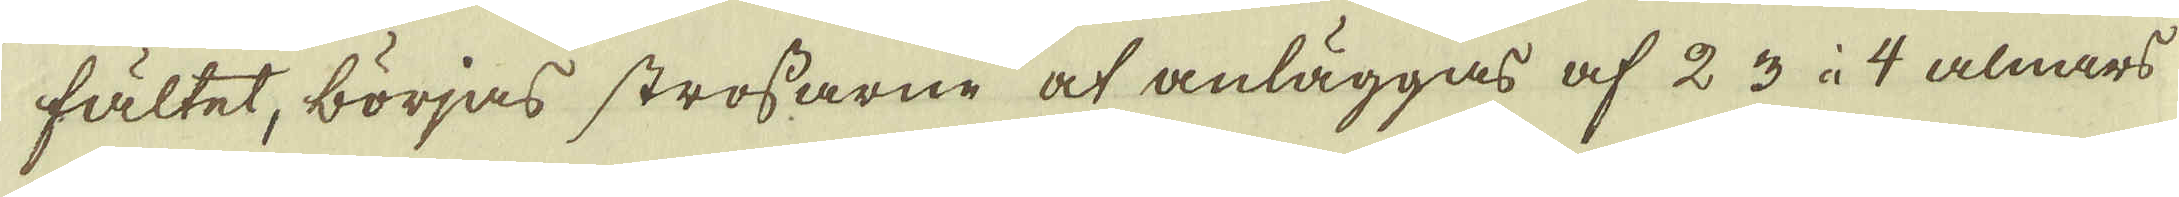fältet, börjas strossarne at anläggas af 2 3 à 4 alnars
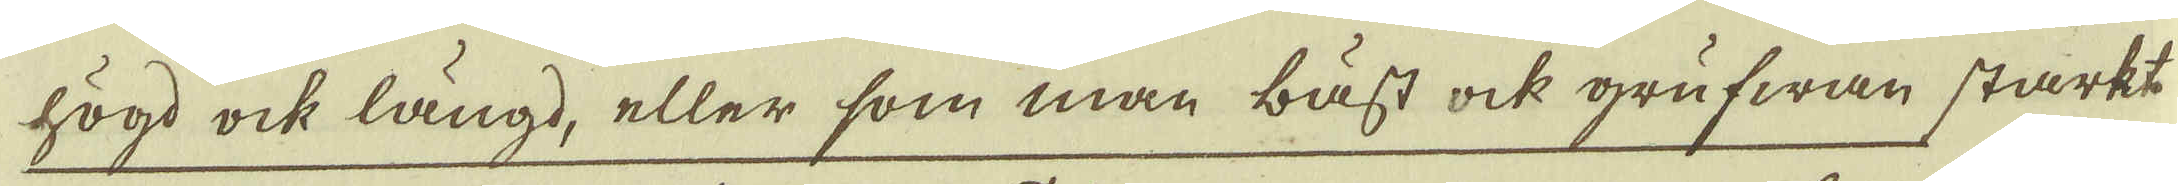högd ock längd, eller som man bäst ock grufwan starkt
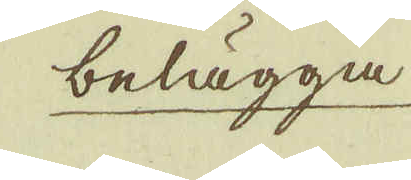belägga
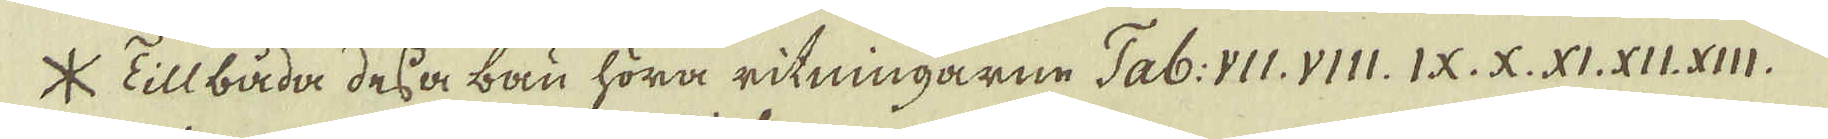* Till båda dessa bau höra ritningarne Tab: VII. VIII. IX. X. XI. XII. XIII.
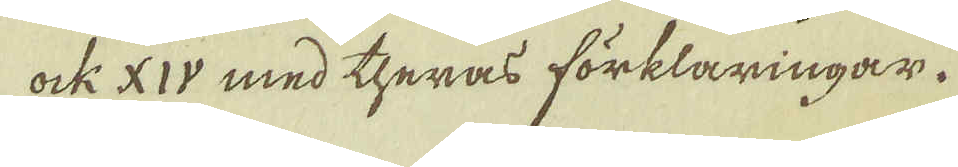ock XIV med theras förklaringar.
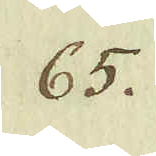65.
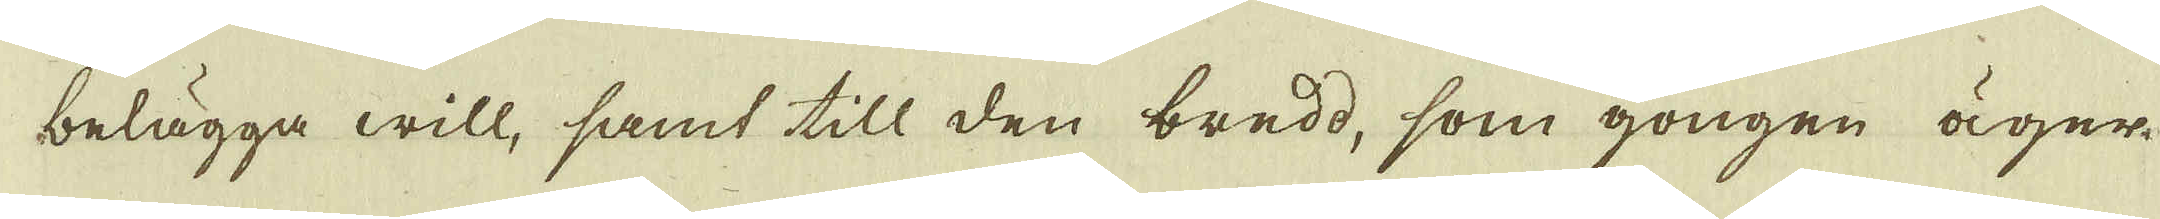belägga will, samt till den bredd, som gongen äger
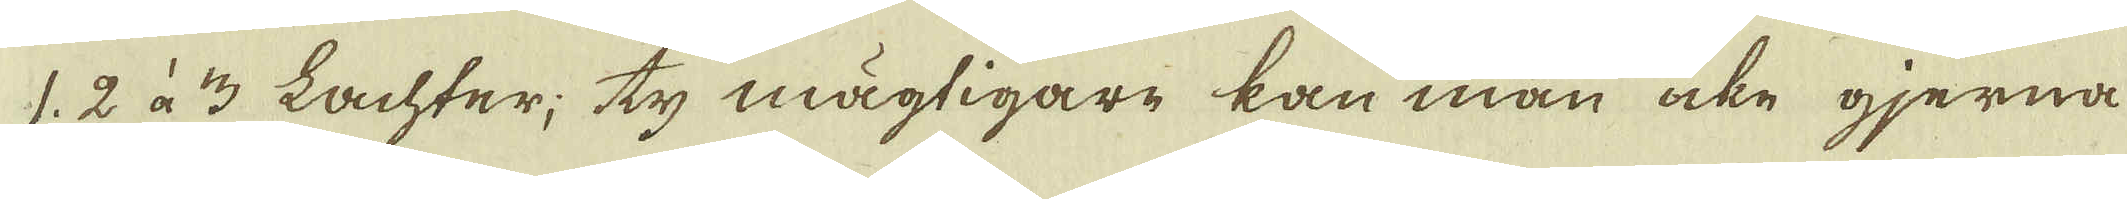1 2 à 3 Lachter; ty mägtigare kan man icke gjerna
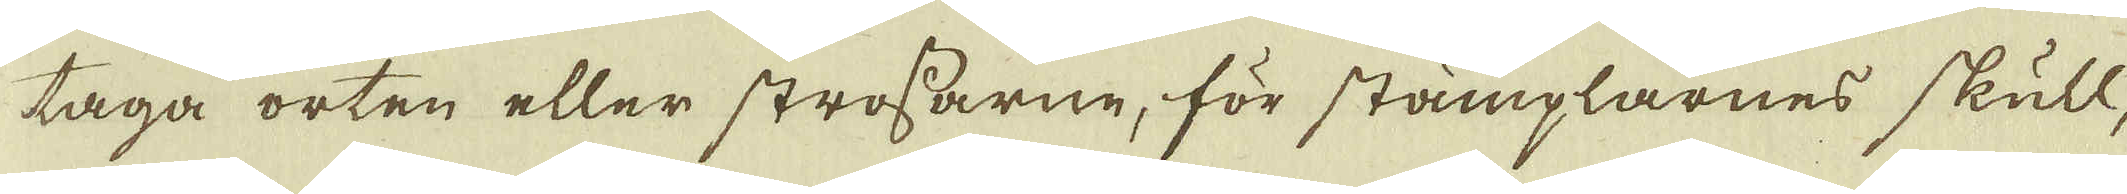taga orten eller strossarne, för stämplarnes skull,
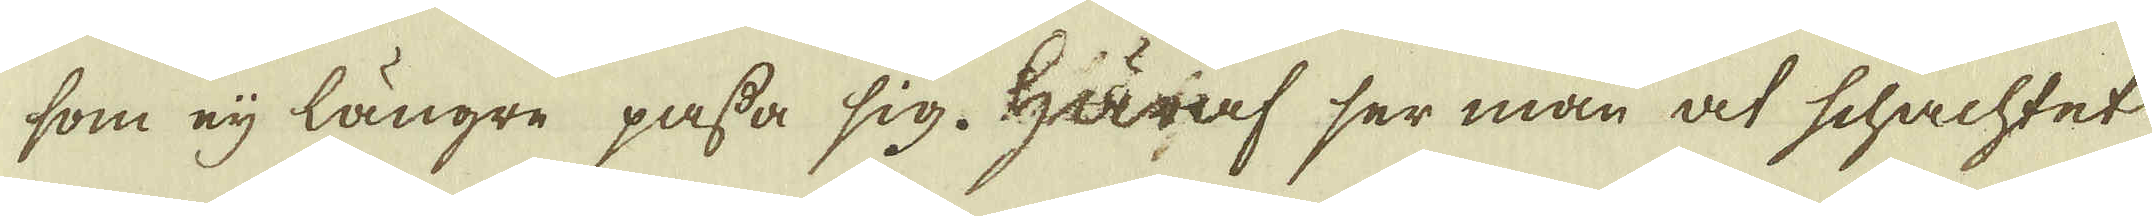som eij längre passa sig. Häraf ser man at schachtet
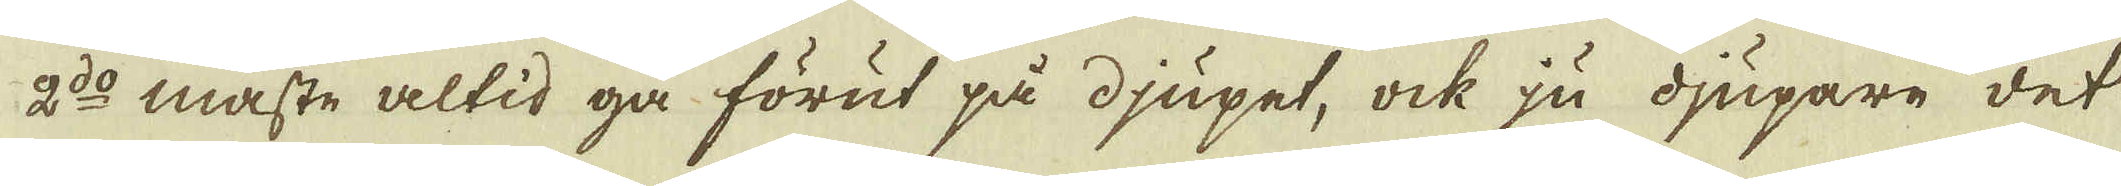2:do måste altid gå förut på djupet, ock ju djupare det
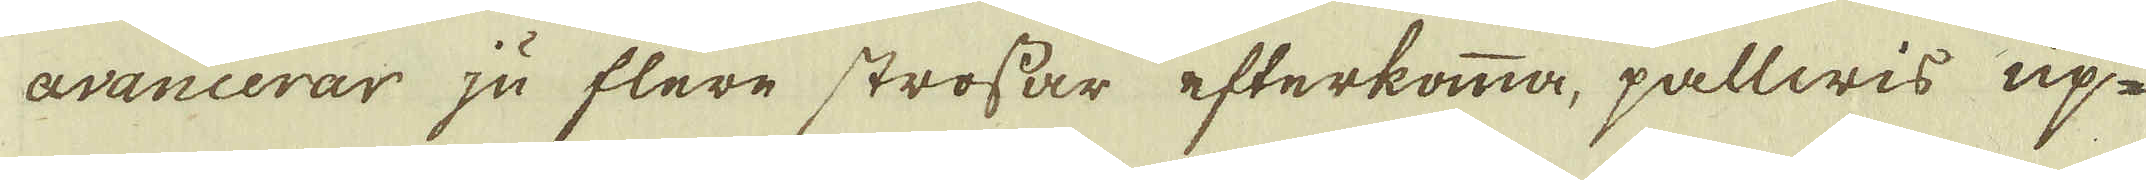avancerar ju flere strossar efterkomma, pallwis up-
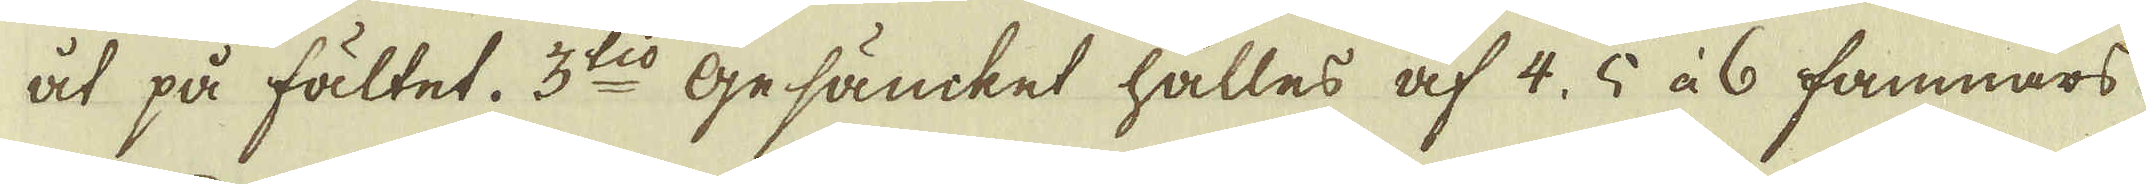åt på fältet. 3:tio Gesäncket hålles af 4, 5 à 6 famnars
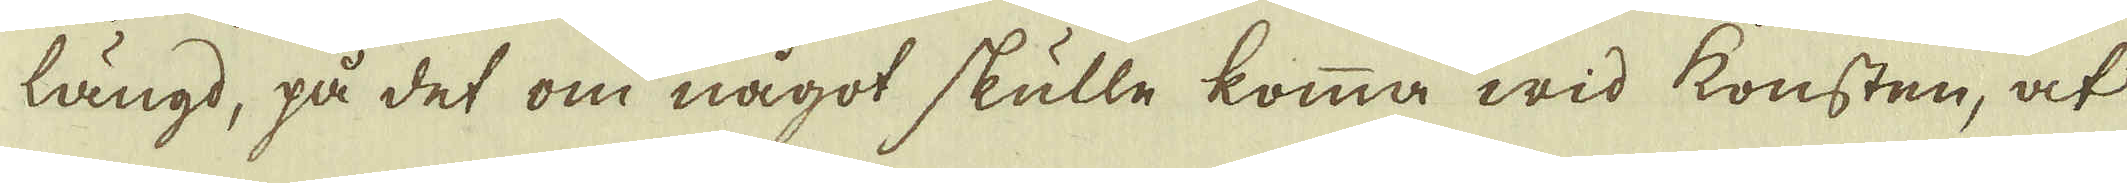längd, på det om något skulle komma wid konsten, at
